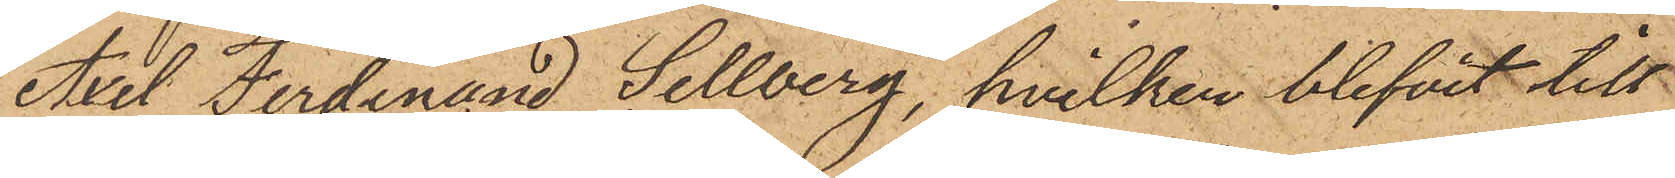Axel Ferdinand Sellberg, hvilken blifvit till
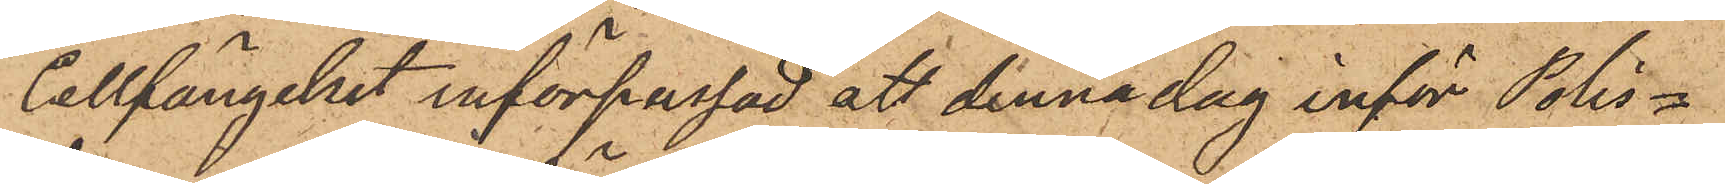Cellfängelset införpassad, att denna dag inför Polis¬
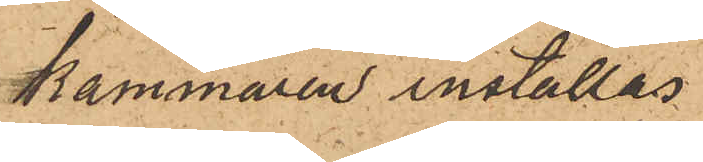kammaren inställas.
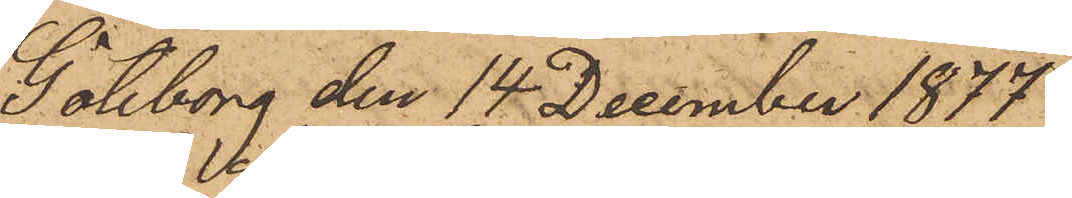Götheborg den 14 December 1877.
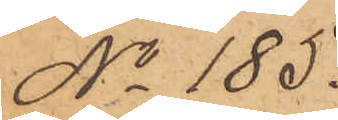No 185.
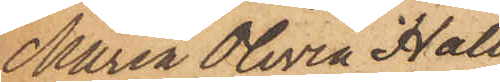Maria Olivia Hall¬
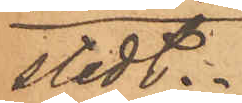stedt.
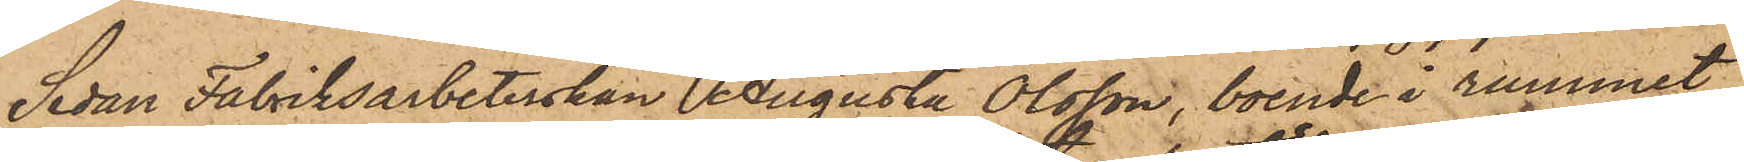Sedan Fabriksarbeterskan Augusta Olsson, boende i rummet
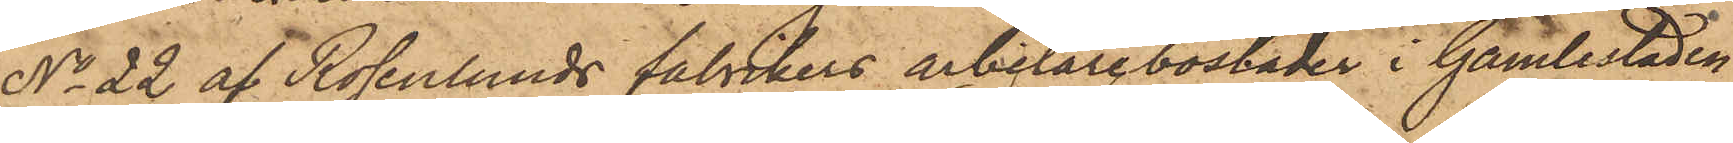No 22 af Rosenlunds fabrikers arbetare bostäder i Gamlestaden
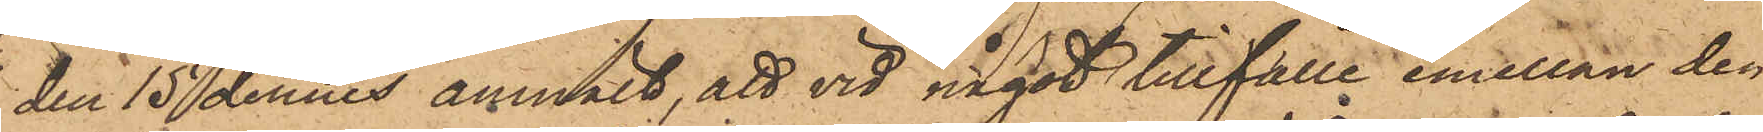den 15 dennes anmält, att vid något tillfälle emellan den
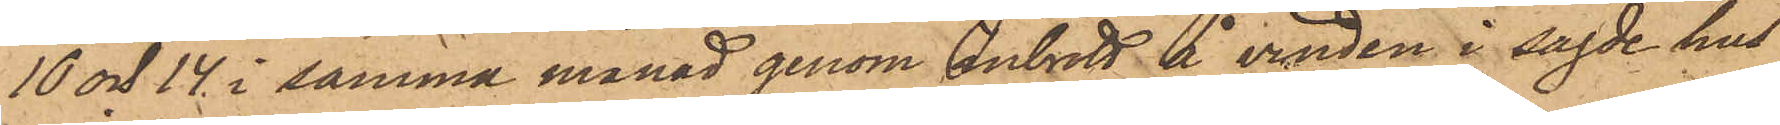10 och 14 i samma månad genom inbrott å vinden i sagde hus
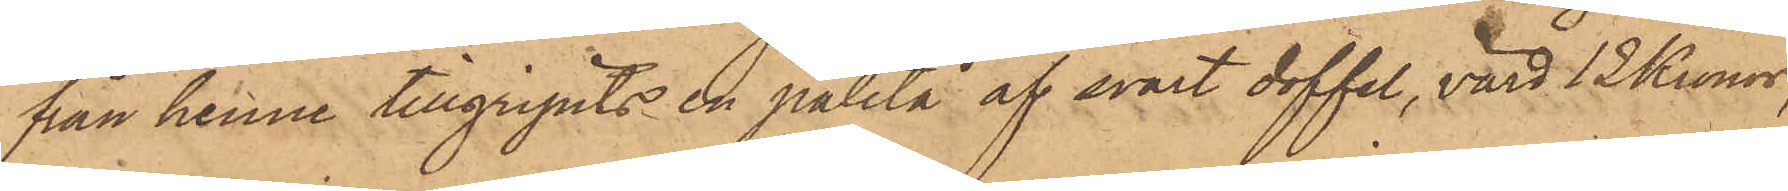från henne tillgripits en paletå af svart doffel, värd 12 Kronor,
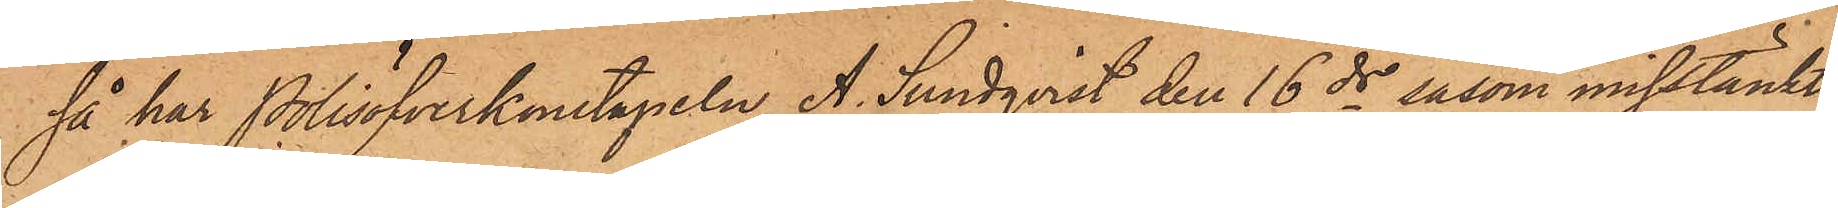så har Polisöfverkonstapeln A. Sundqvist den 16 ds såsom misstänkt
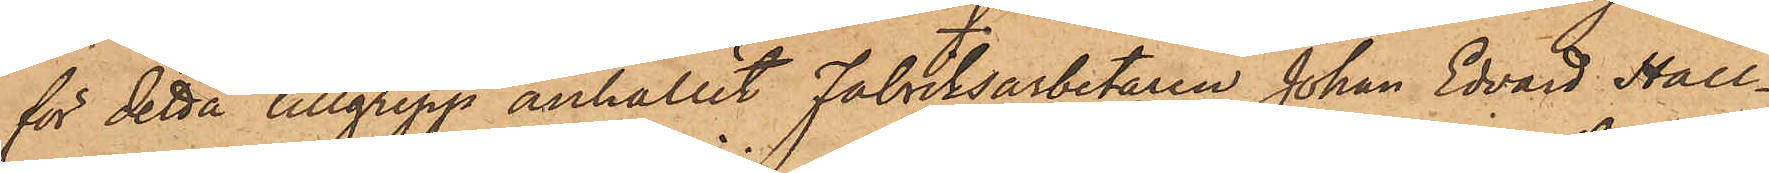för detta tillgrepp anhållit Fabriksarbetaren Johan Edvard Hall¬
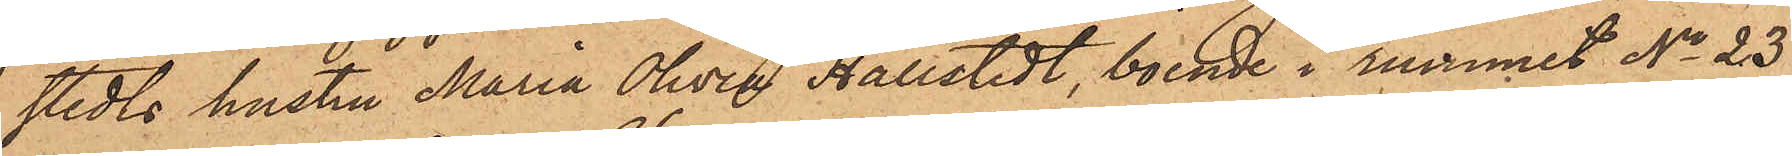stedts hustru Maria Olivia Hallstedt, boende i rummet No 23
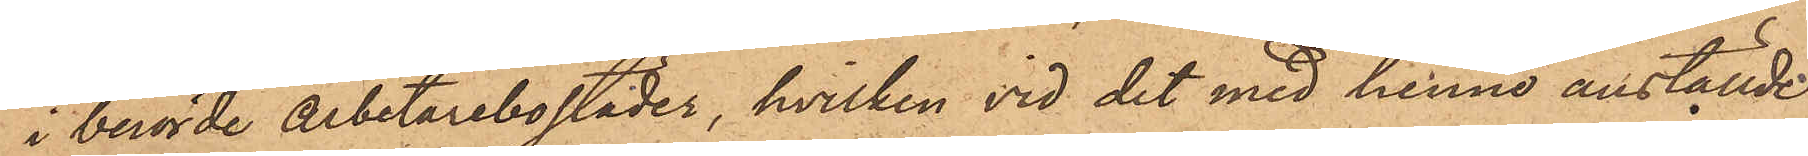i berörde Arbetarebostäder, hvilken vid det med henne anställde
